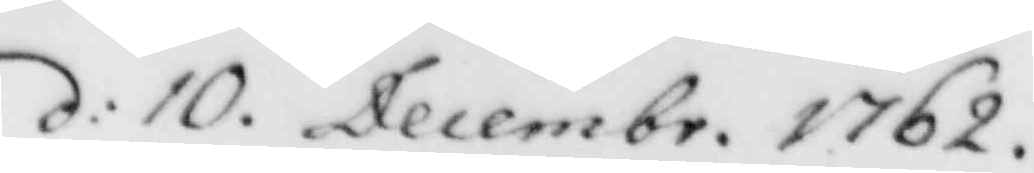d: 10. Decembr. 1762.
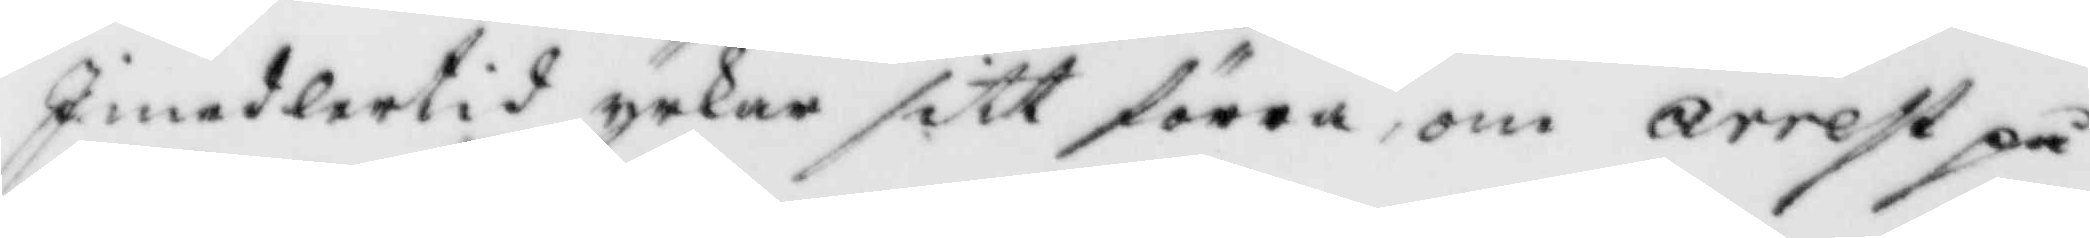Iimedlertid yrkar sitt förra, om arrest på
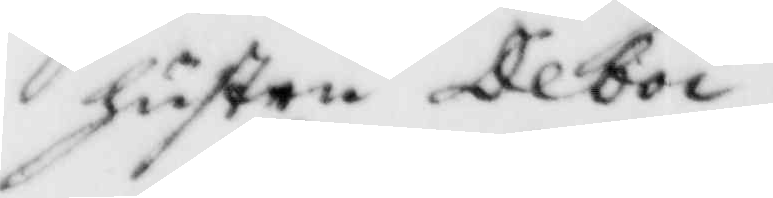hustru Deboi.
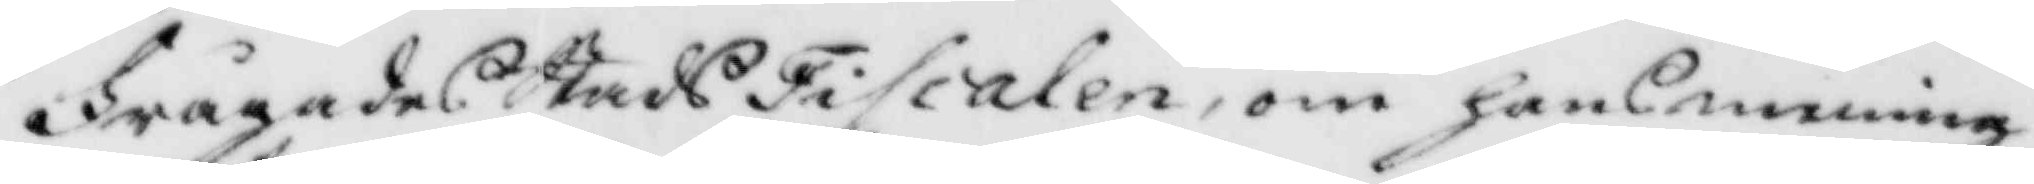Frågades StadzFiscalen, om hans mening
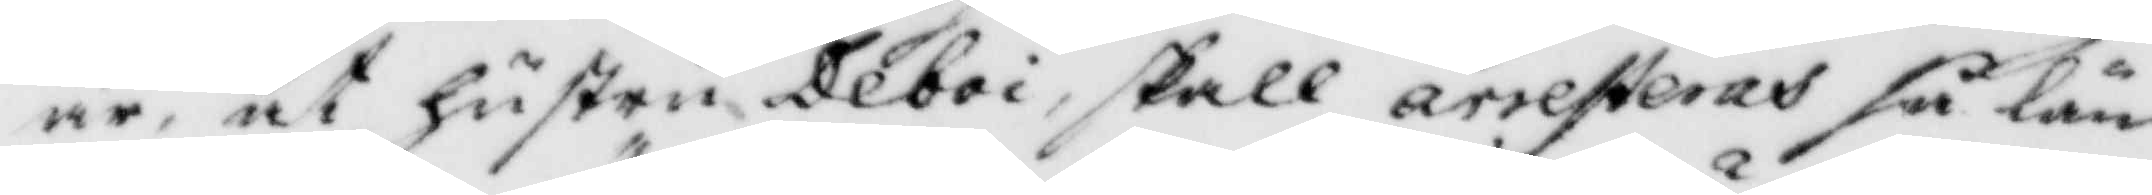är, at hustru Deboi, skall arresteras så län¬
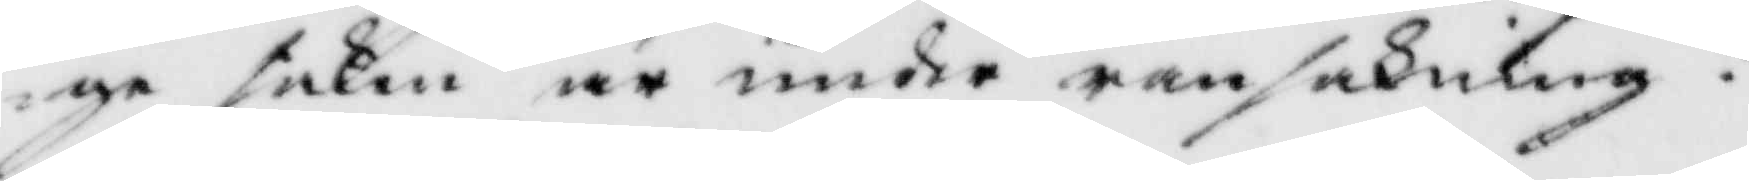ge saken är under ransakning?
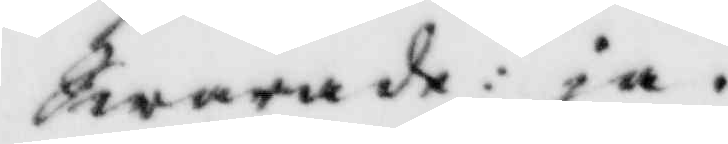Swarade: ja-
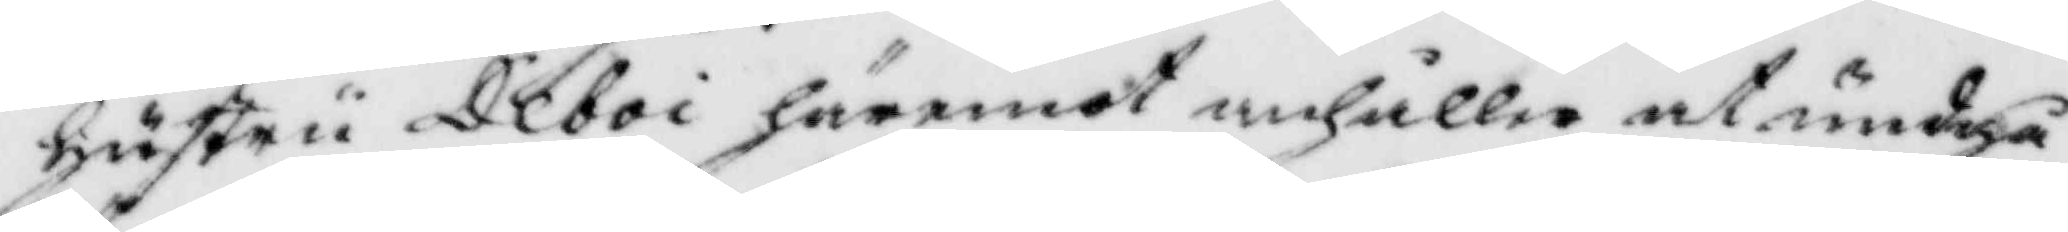hustru Deboi häremot anhåller at undgå
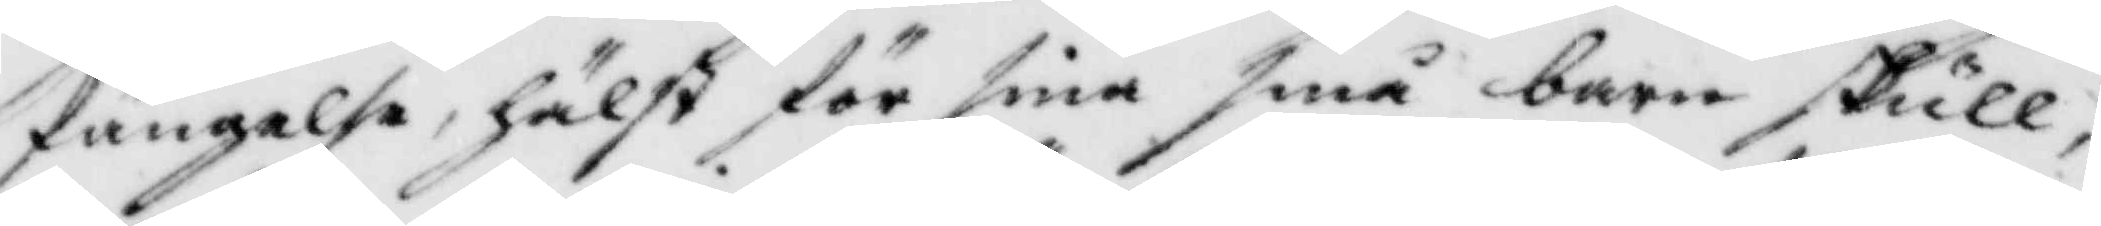fängelse, hälst för sina små barn skull,
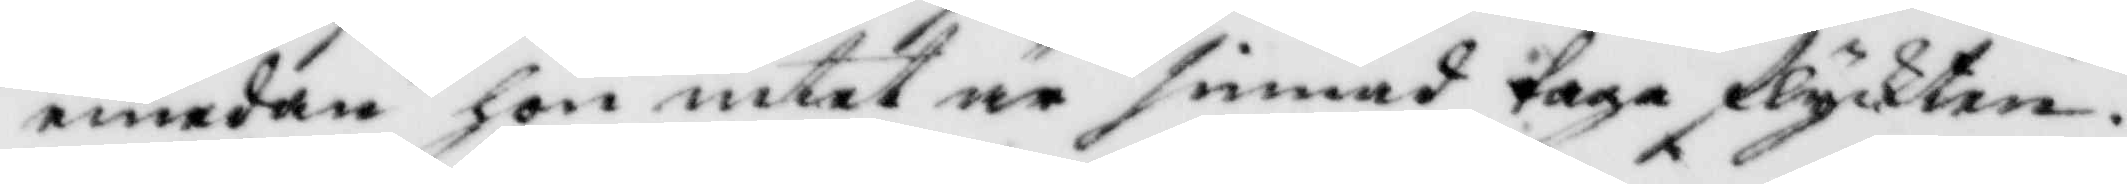emedan hon intet är sinnad taga flyckten.
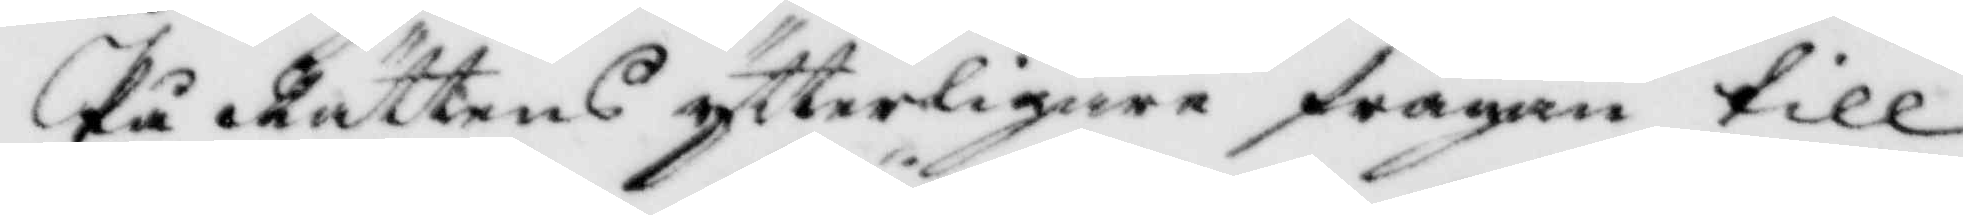På Råttens ytterligare frågan till
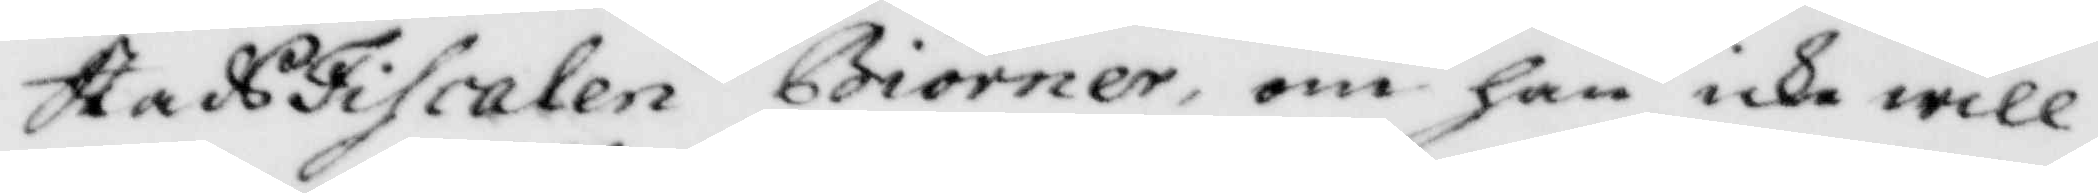StadsFiscalen Biörner, om han icke will
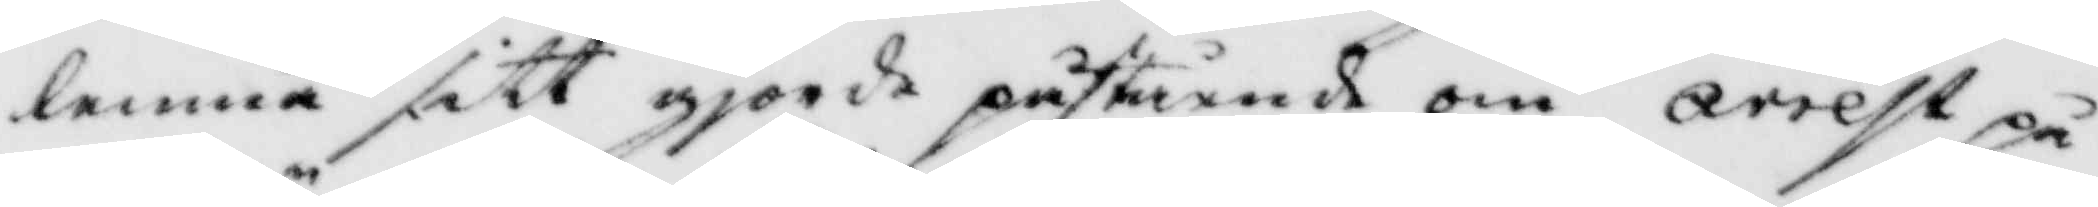lemna sitt gjorde påstående om arrest på
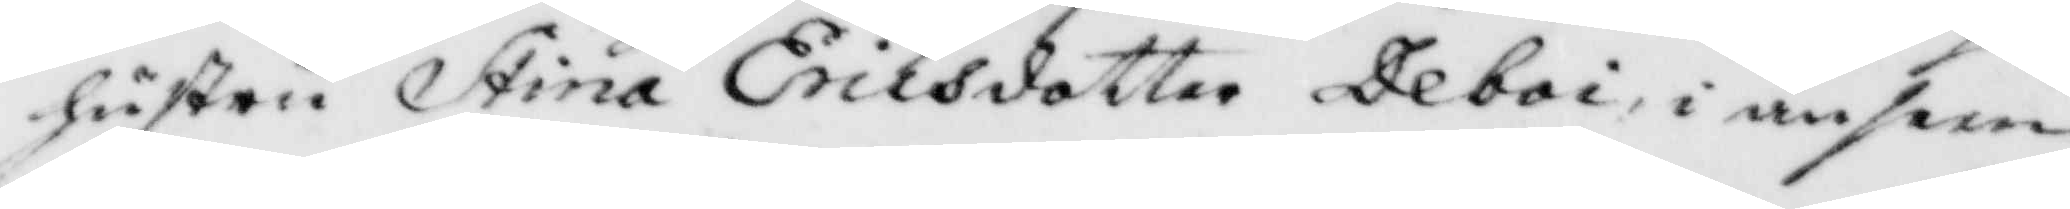hustru Stina Ericsdotter Deboi, i anseen¬
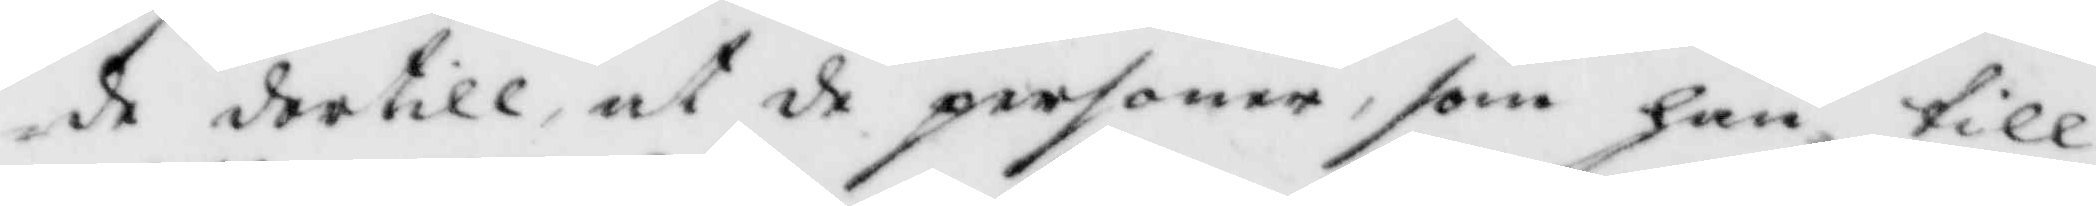de dertill at de personer, som han till
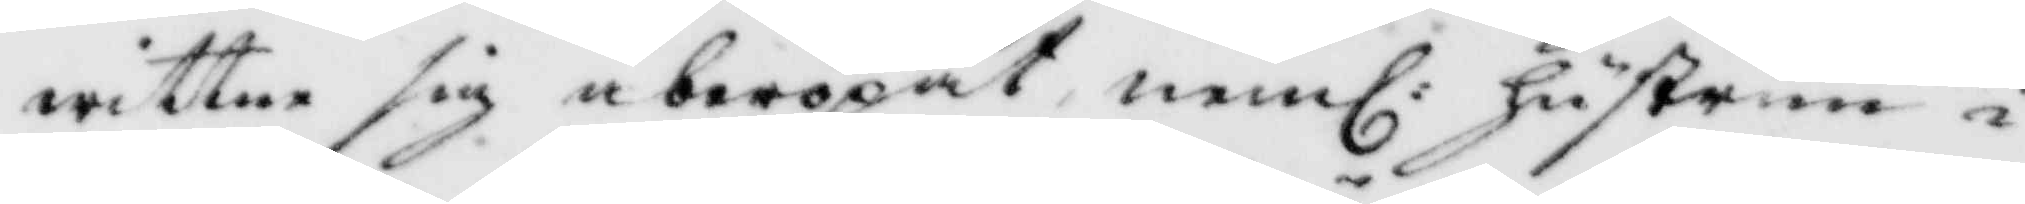wittne sig åberopat, neml: hustrun i
